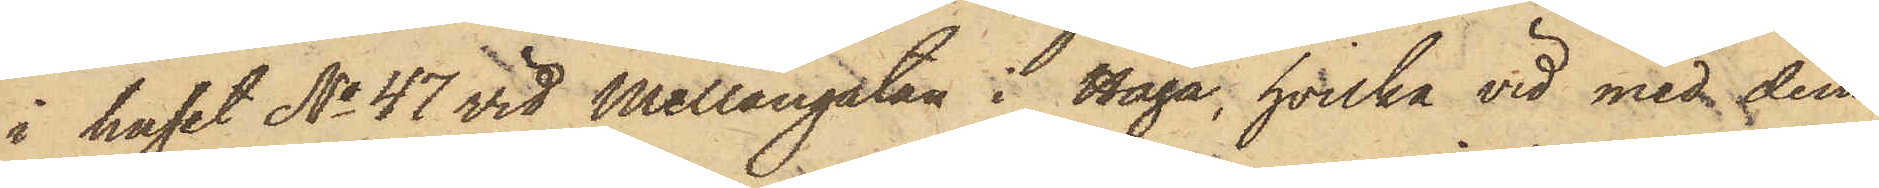i huset No 47 vid Mellangatan i Haga, hvilka vid med dem
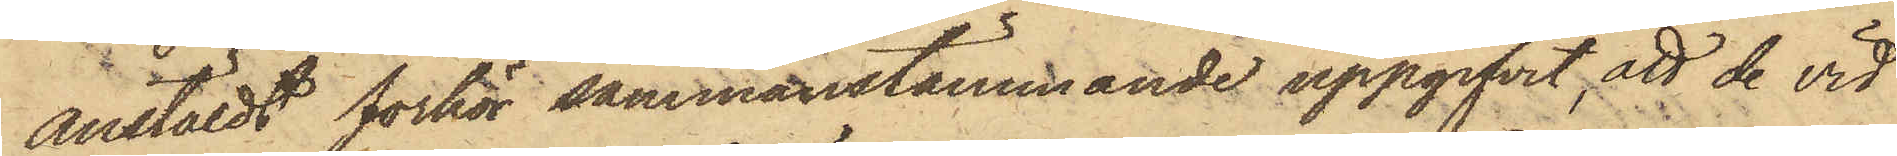anstäldt förhör sammanstämmande uppgifvit, att de vid
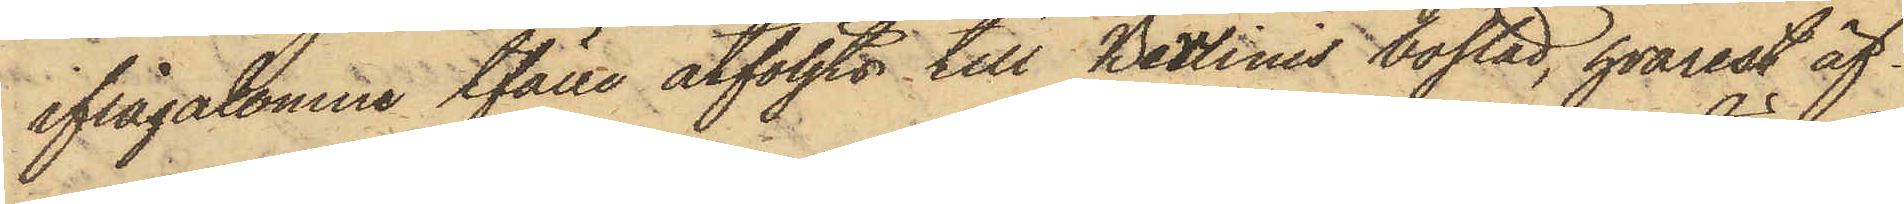ifrågakomne tfälle åtföljts till Berlinis bostad, hvarest äf¬
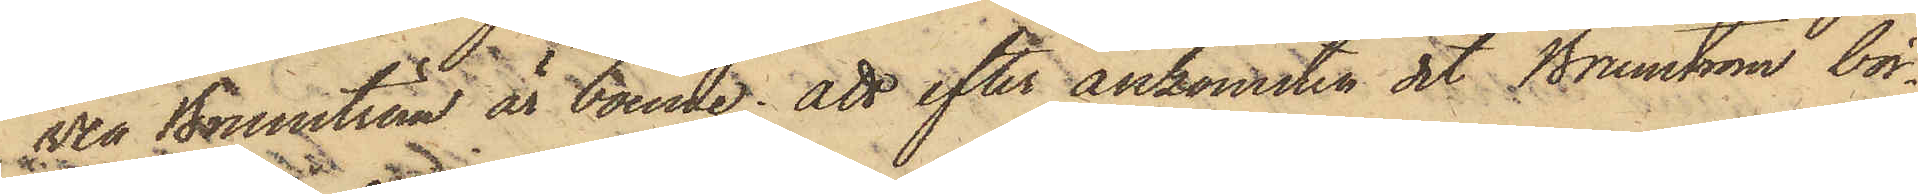ven Brunström är boende; att efter ankomsten dit Brunström bör¬
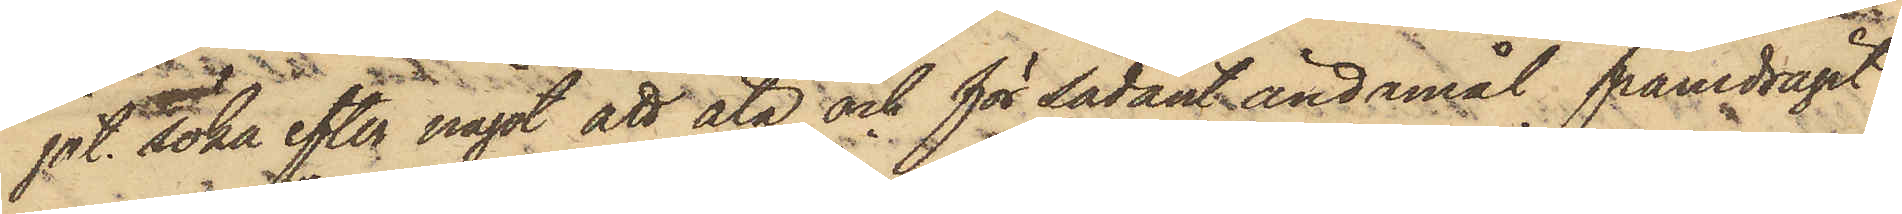jat söka efter något att äta och för sådant ändamål framdragit
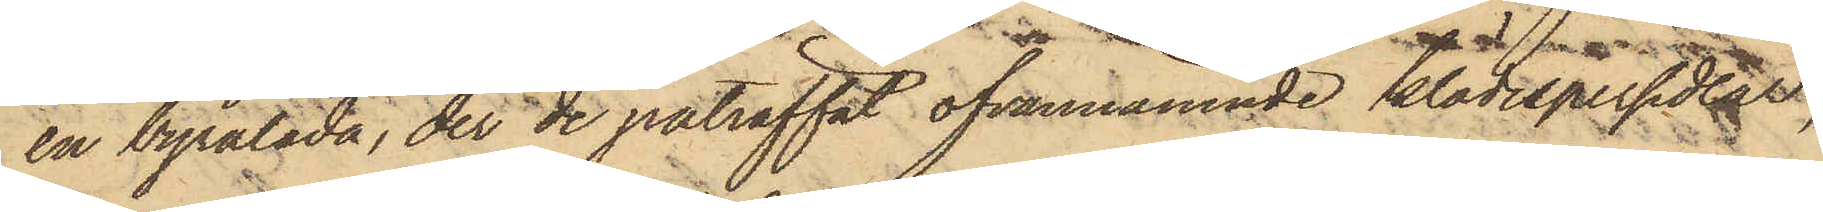en byrålåda, der de påträffat ofvannämnde klädespersedlar,
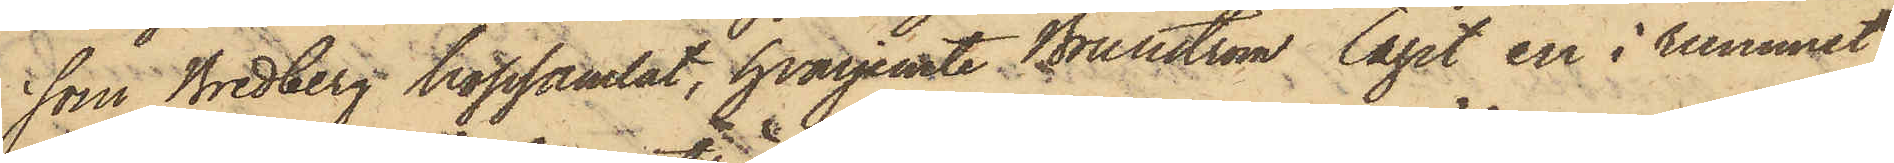som Bredberg hopsamlat, hvarjemte Brunström tagit en i rummet
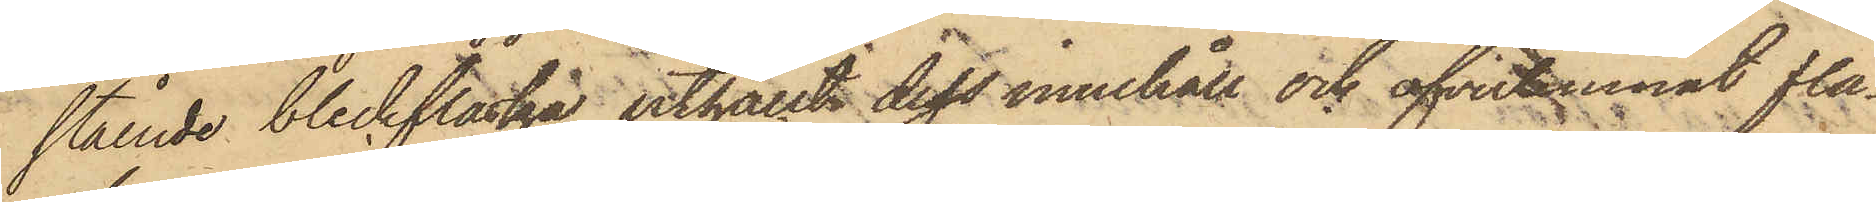stående bleckflaska, uthällt dess innehåll och öfverlemnat fla¬
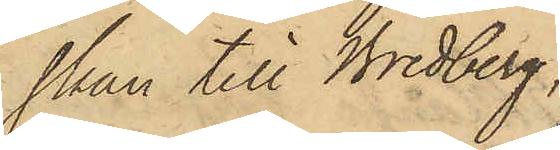skan till Bredberg;
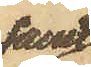samt
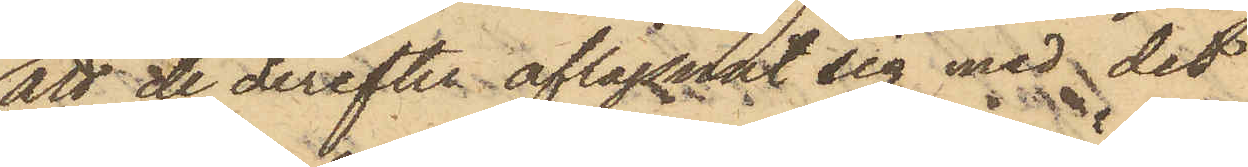att de derefter aflägsnat sig med det
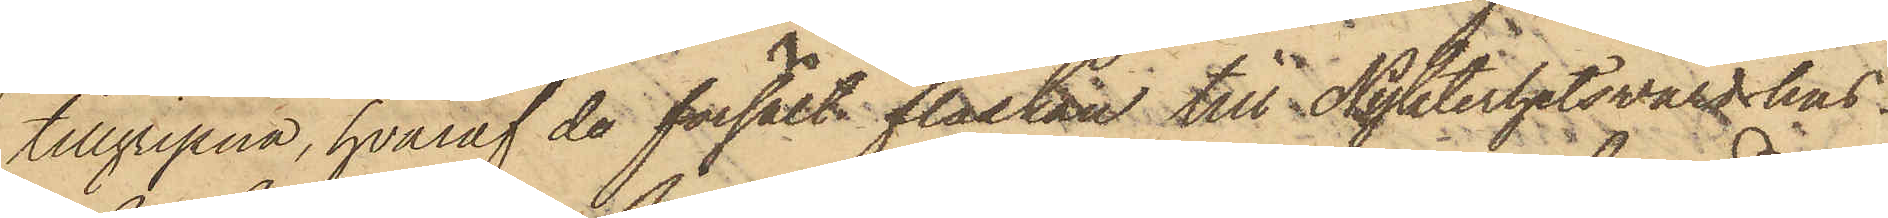tillgripna, hvaraf de försålt flaskan till Nykterhetsvärdshus¬
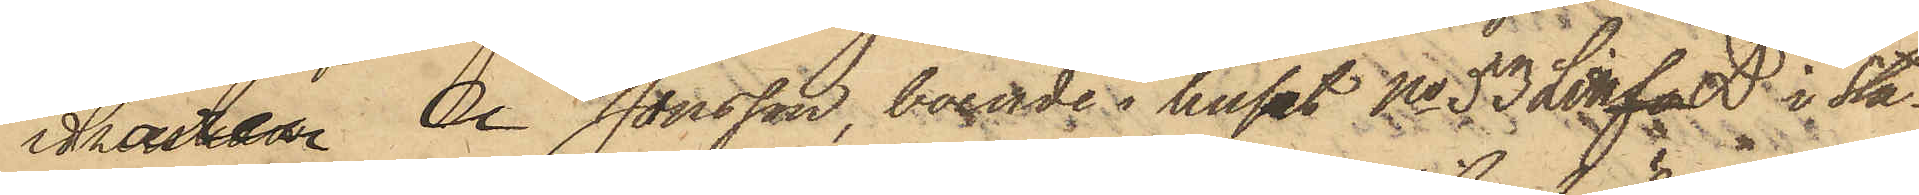idkaren A Jonsson, boende i huset No 53 Litt fo D i Sta¬
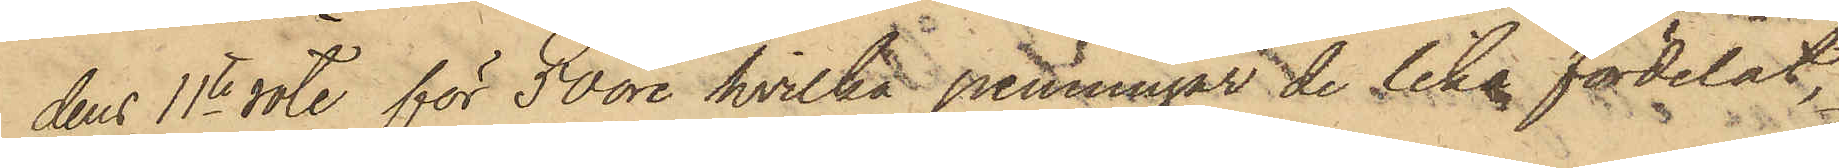dens 11te rote för 50 öre, hvilka penningar de lika fördelat,
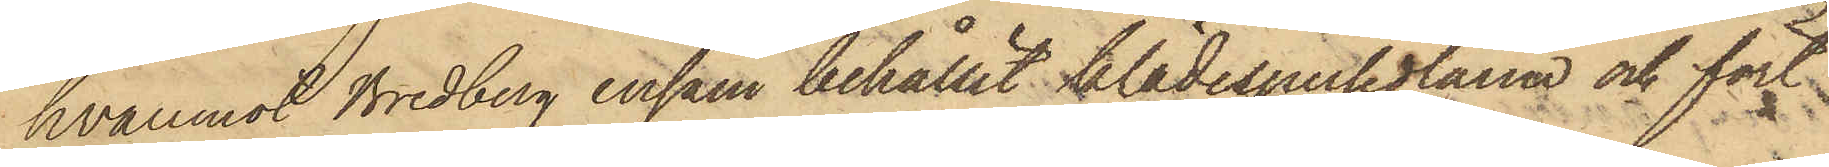hvaremot Bredberg ensam behållit klädespersedlarna och fört
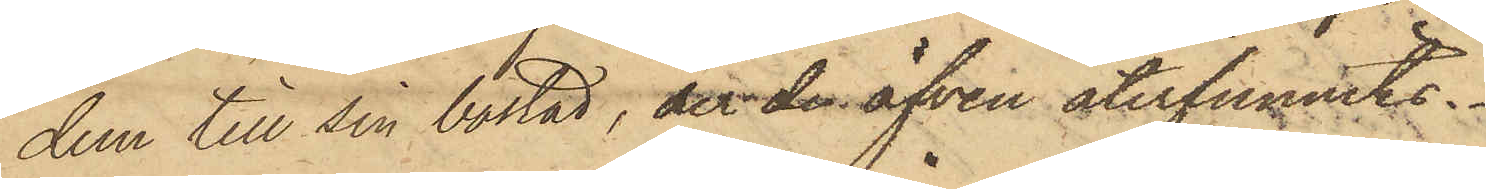dem till sin bostad, der der äfven återfunnits.
